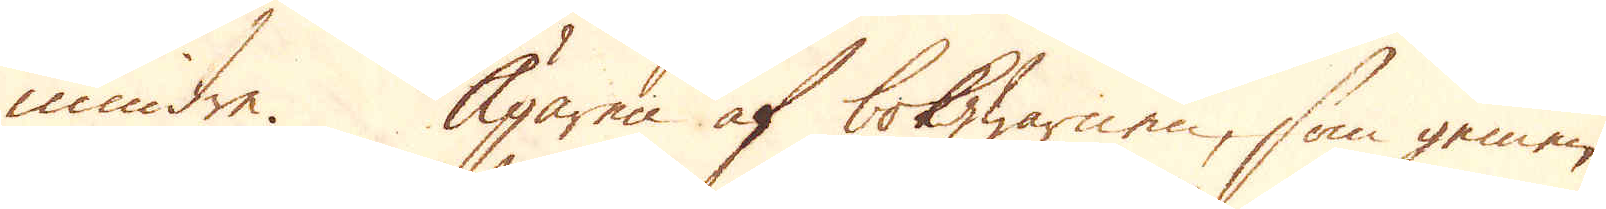mindre. Ägaren af bokhwarnen, som gemen-
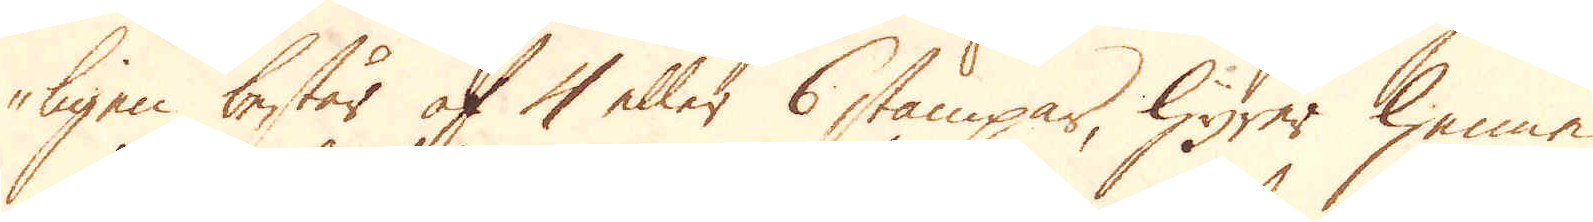ligen består af 4 eller 6 stämpar, hyrer henne
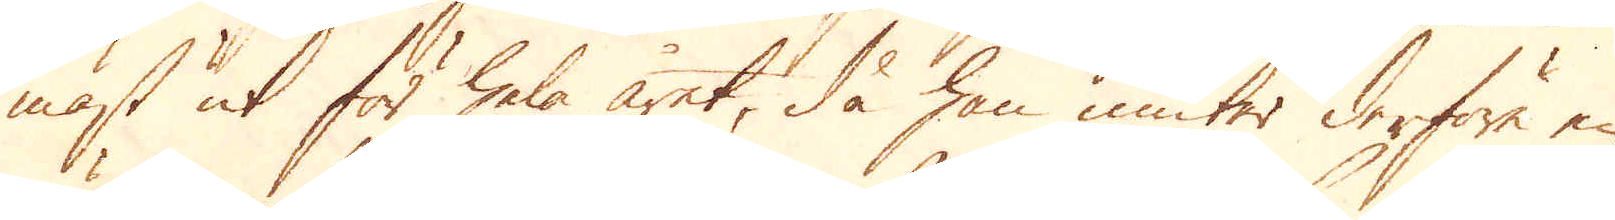mäst ut för hela året, då han niuter derföre en
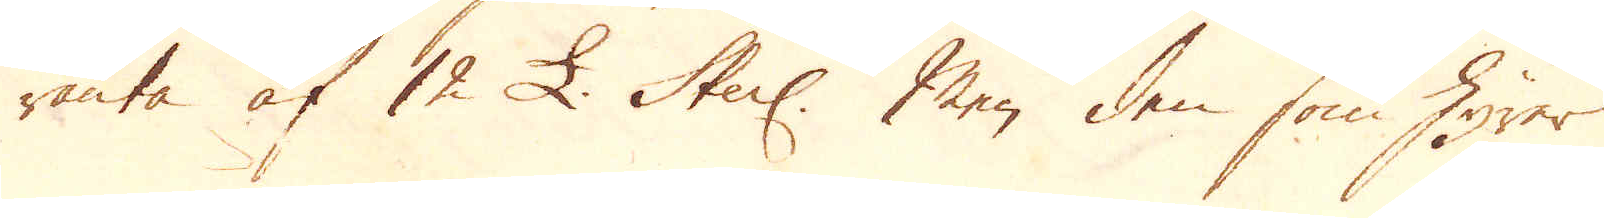ränta af 12 £. Sterl. Men den som hörer.
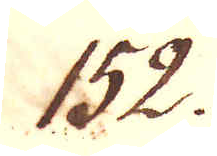152.
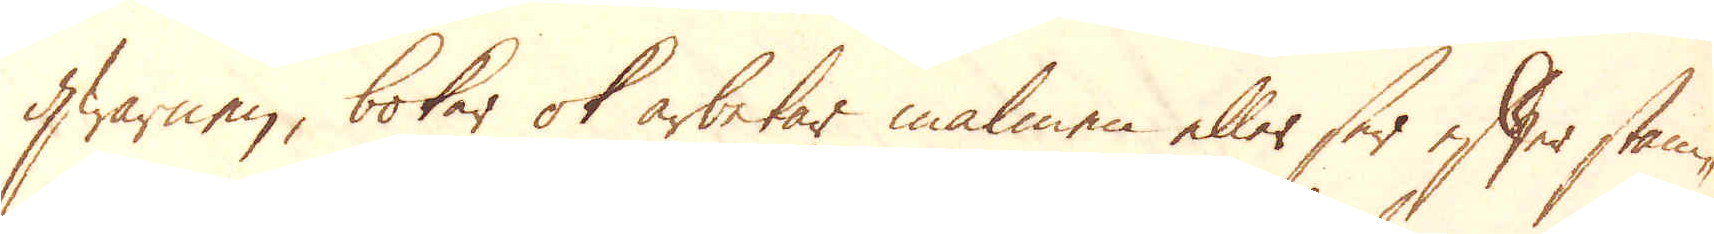qwarnen, bokar ok arbetar malmen eller ser efter stam-
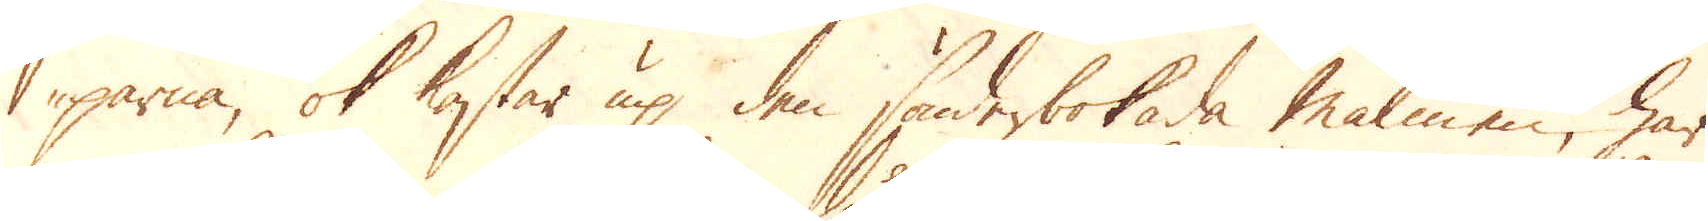parna, ok kastar up den sönderbokade malmen, har
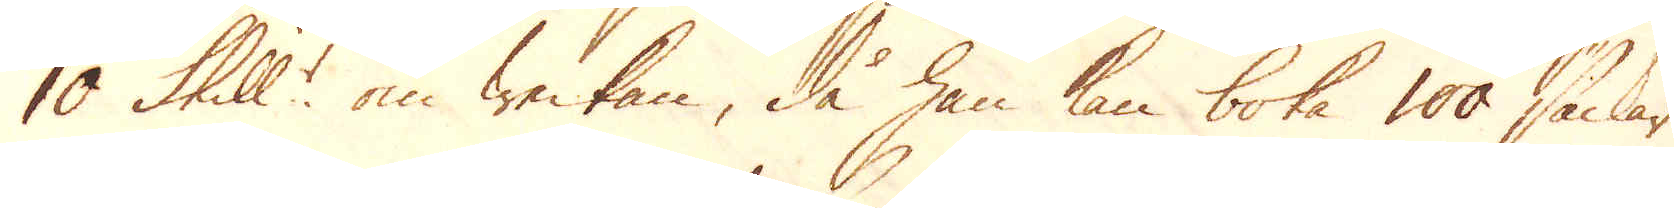10 Skill:r om weckan, då han kan boka 100 säckar
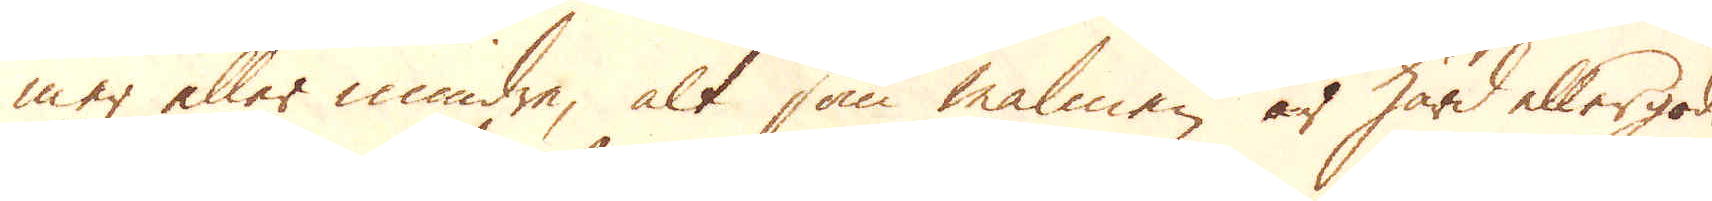mer eller mindre, alt som malmen är hård eller god.
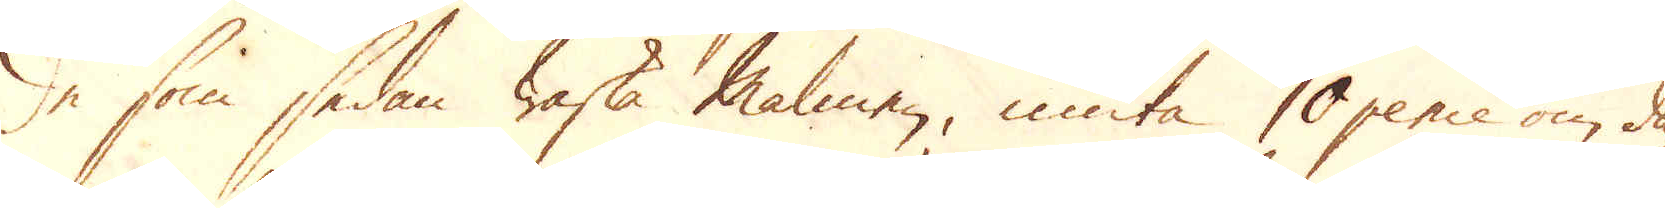De som sedan waska Malmen, niuta 10 pence om da-
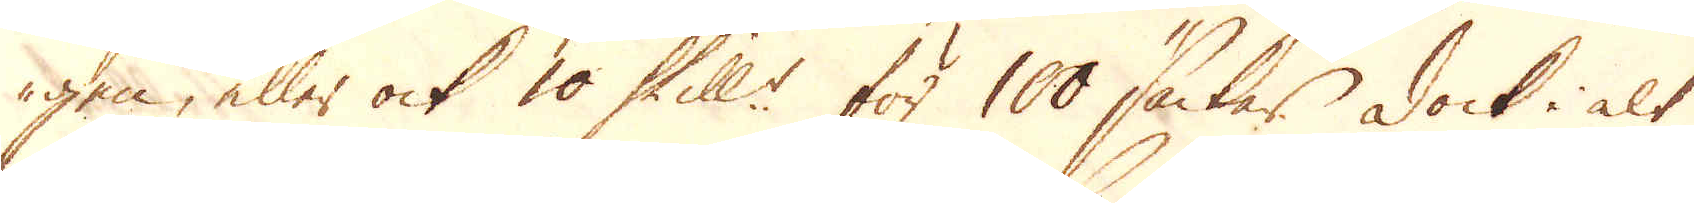gen, eller ock 10 Skill:r för 100 säckar. Dock i alt
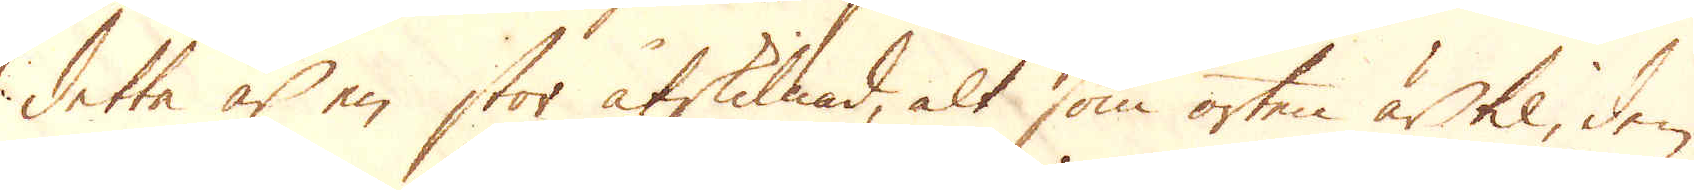detta är en stor åtskillnad, alt som orten är til, den
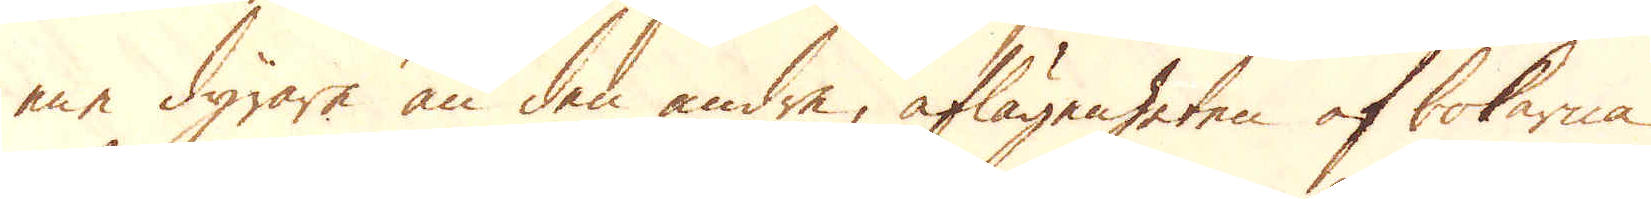ene dyrare än den andre, aflägenheten af bokarna
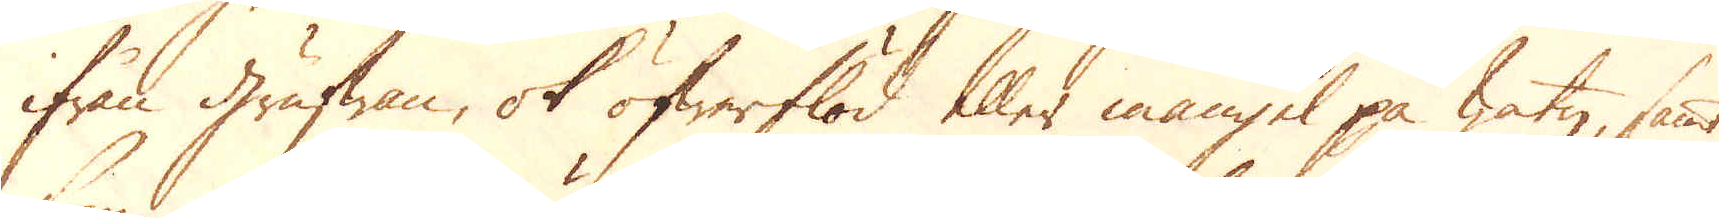ifrån grufwan, ok öfwerflöd eller mangel på watn, samt
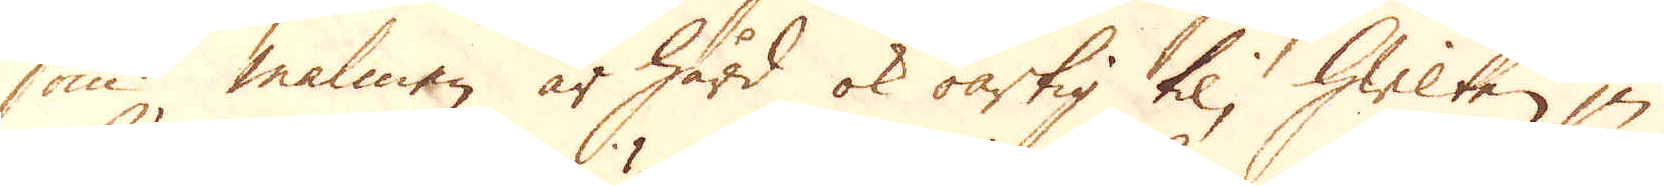som malmen är hård ok oartig til, hwilken ju
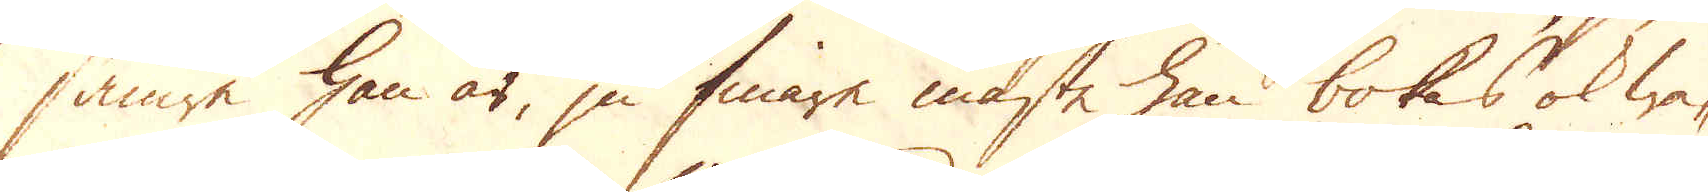sämre han är, ju finare måste han bokas ok wa-
